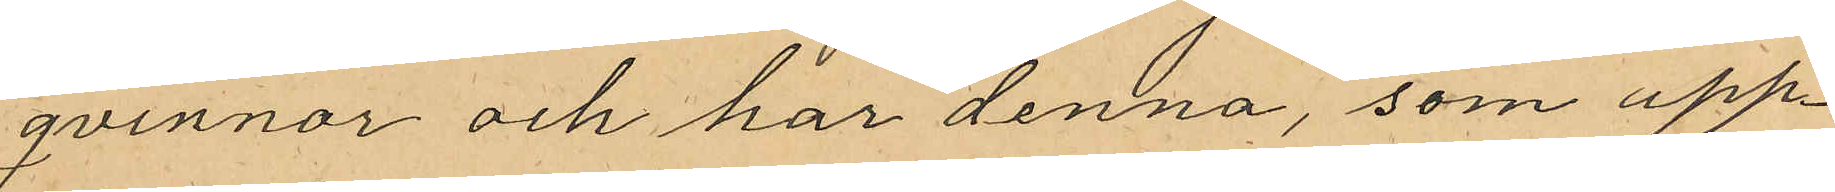qvinnor och har denna, som upp¬
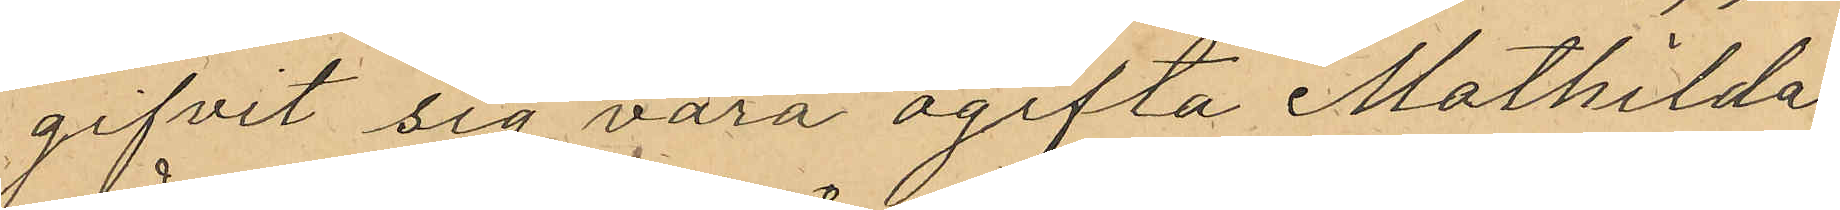gifvit sig vara ogifta Mathilda
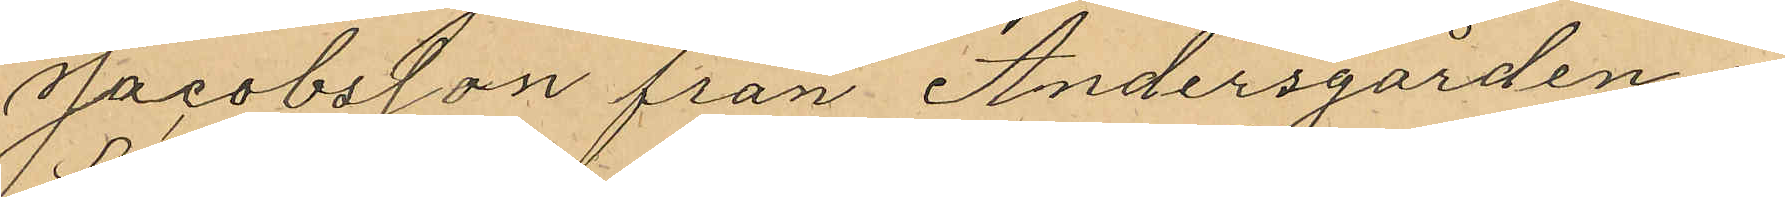Jacobsson från Andersgården i
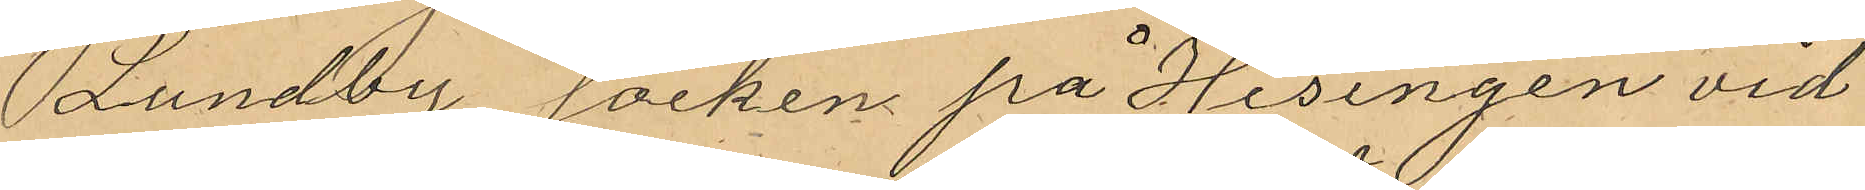Lundby socken på Hisingen vid
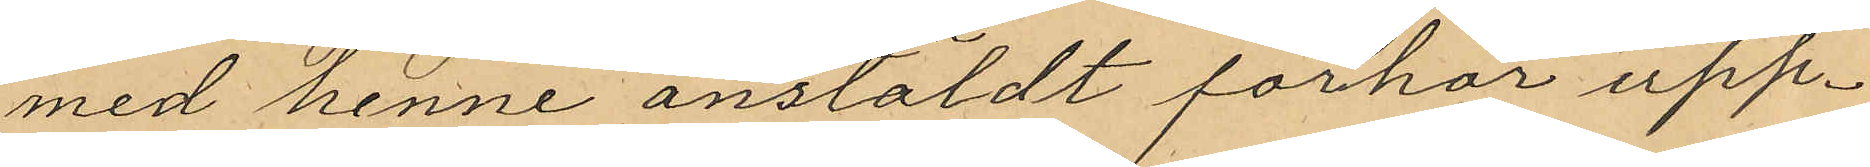med henne anstäldt förhör upp¬
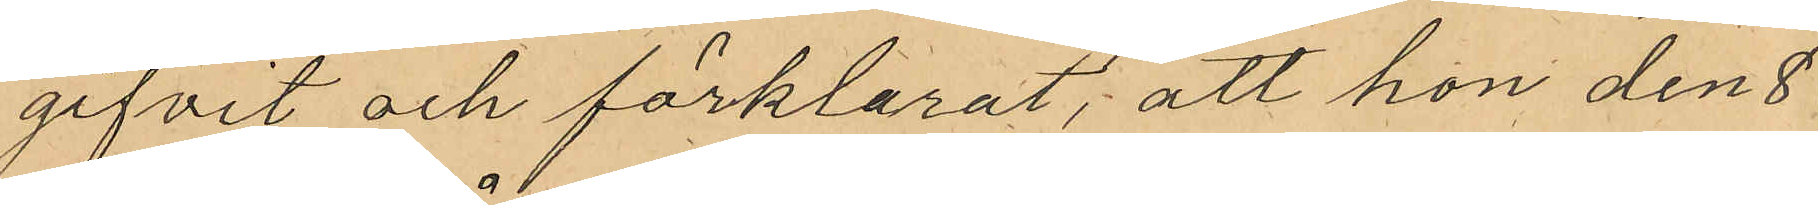gifvit och förklarat, att hon den 8
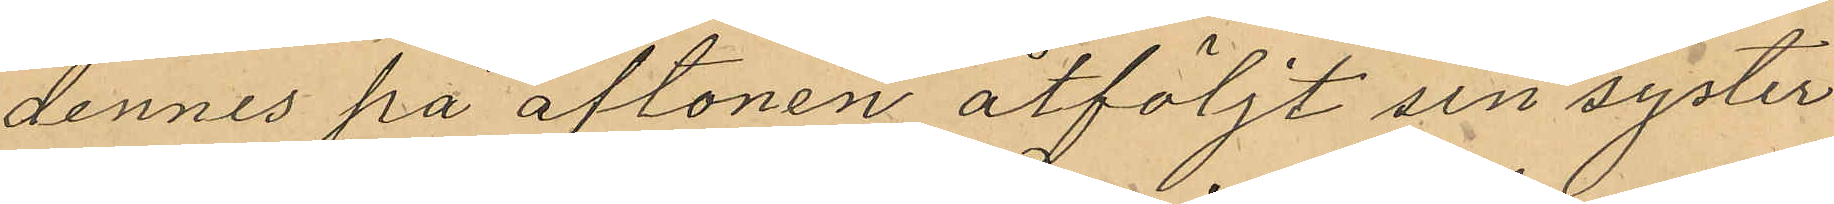dennes på aftonen åtföljt sin syster
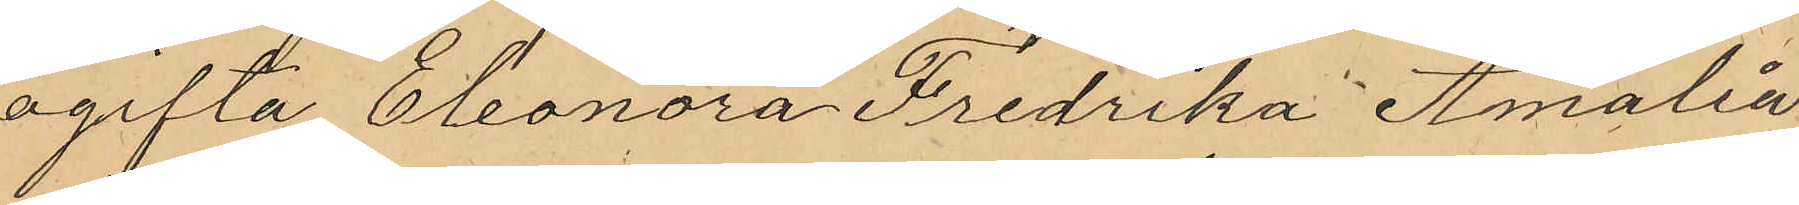ogifta Eleonora Fredrika Amalia
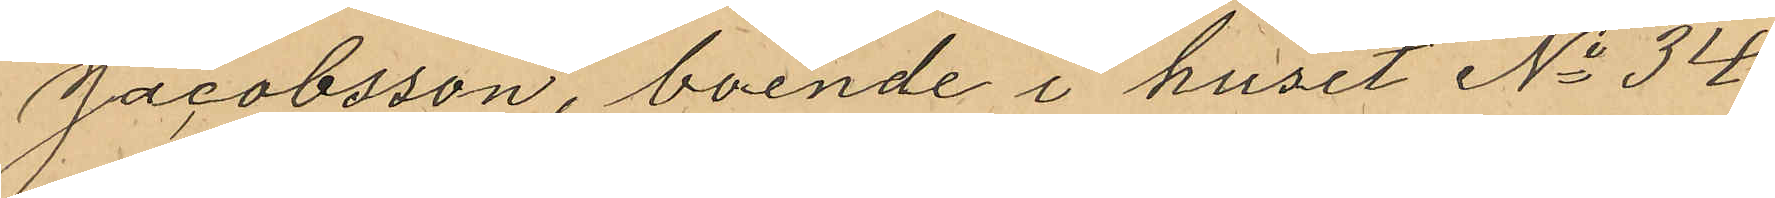Jacobsson, boende i huset No 34
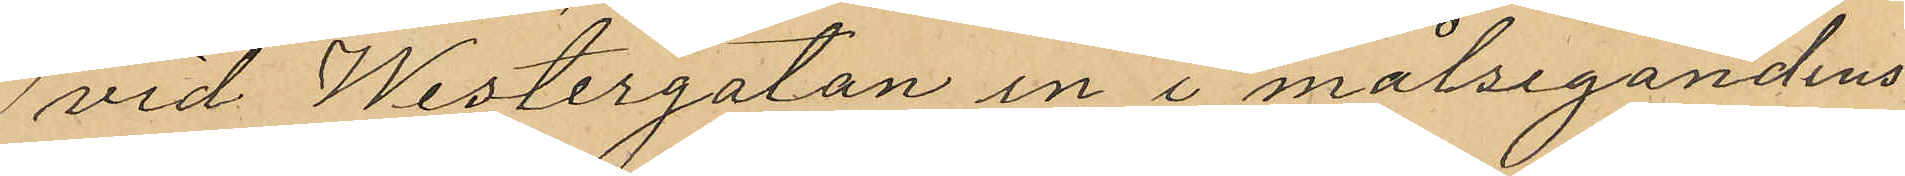vid Westergatan in i målsegandens
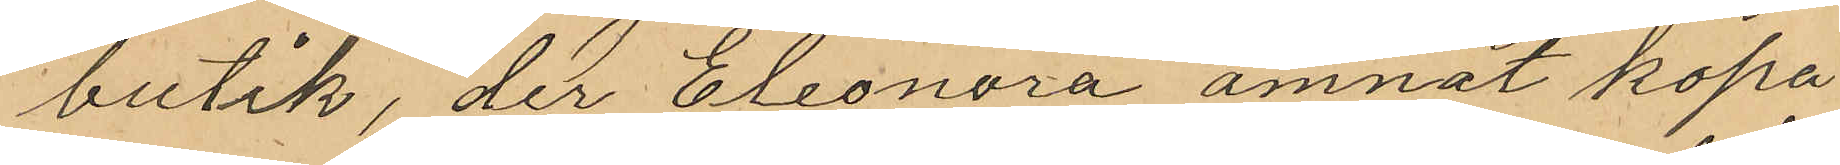butik, der Eleonora ämnat köpa
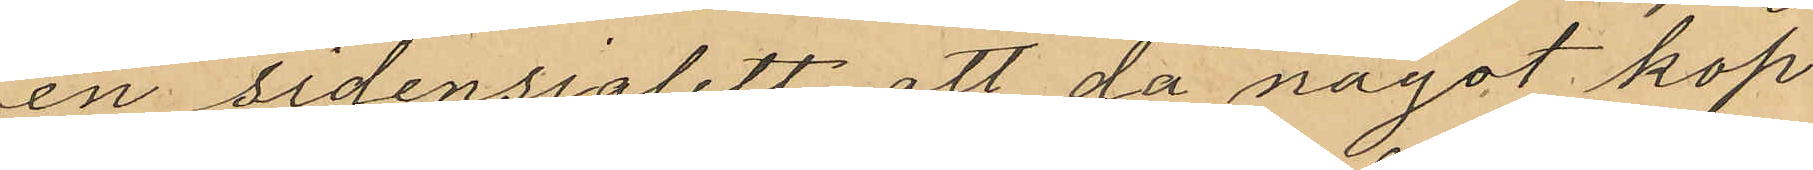en sidensjalett, att då något köp
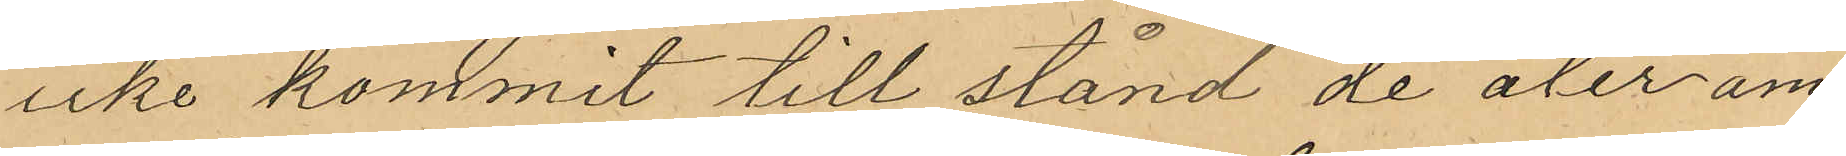icke kommit till stånd de åter äm¬
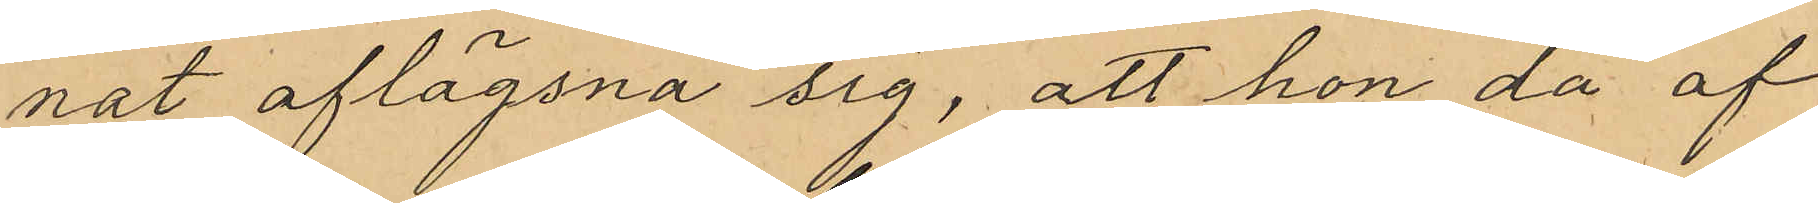nat aflägsna sig, att hon då af
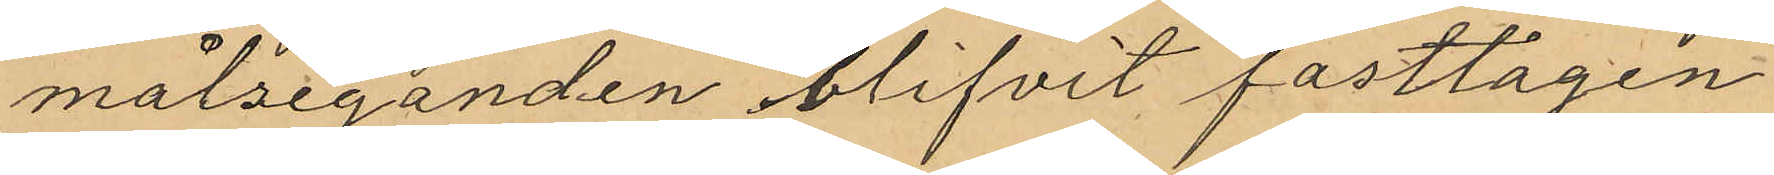målseganden blifvit fasttagen
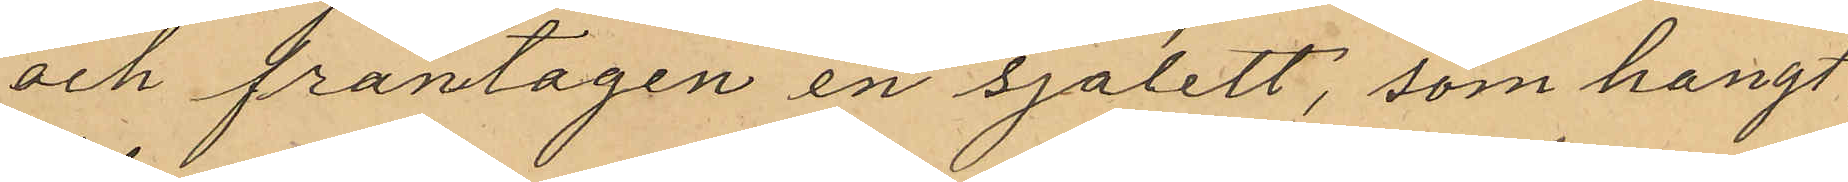och fråntagen en sjalett, som hangt
